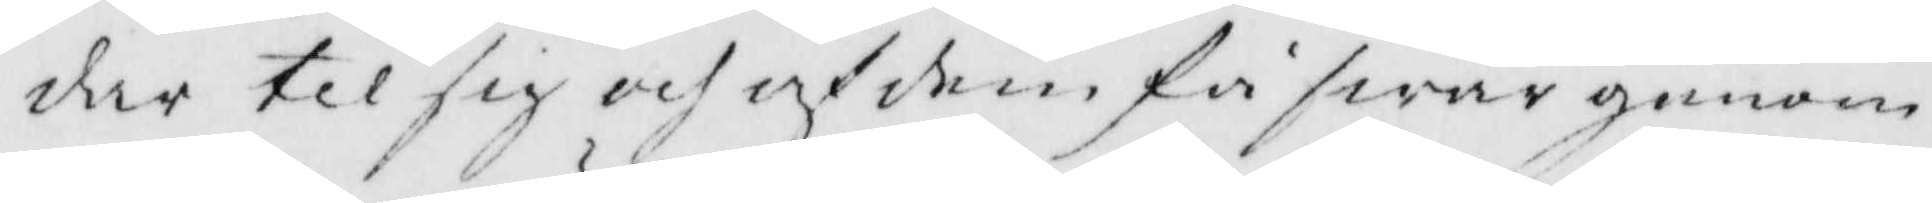dar til sig och af dem få swar genom
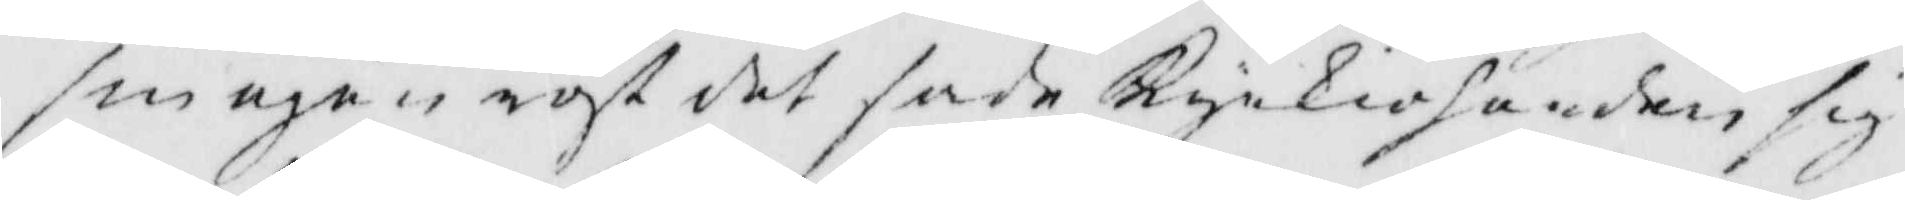sin egen röst det sade Kyrkioherden sig
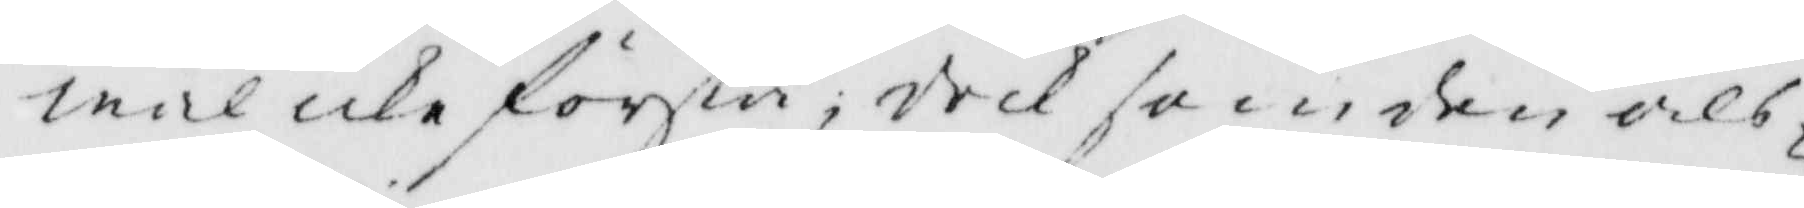wäl icke förstå, dock som den als¬
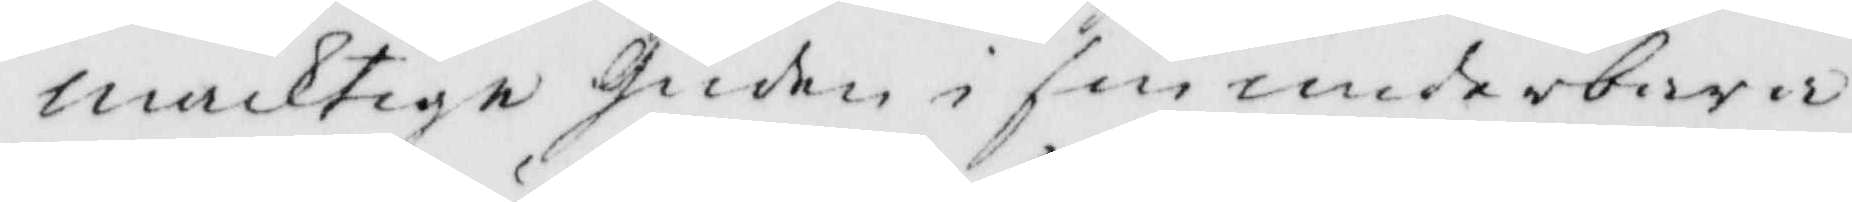mäcktige Guden i sin underbara
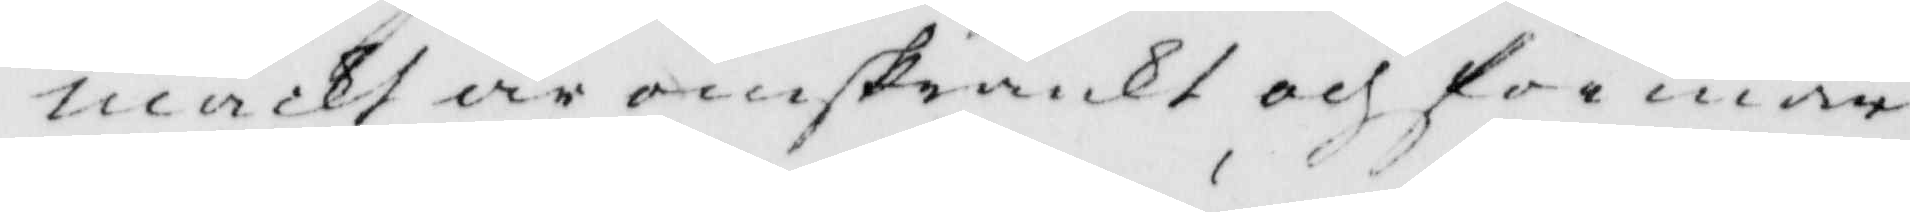macht är oinskränkt och för mår
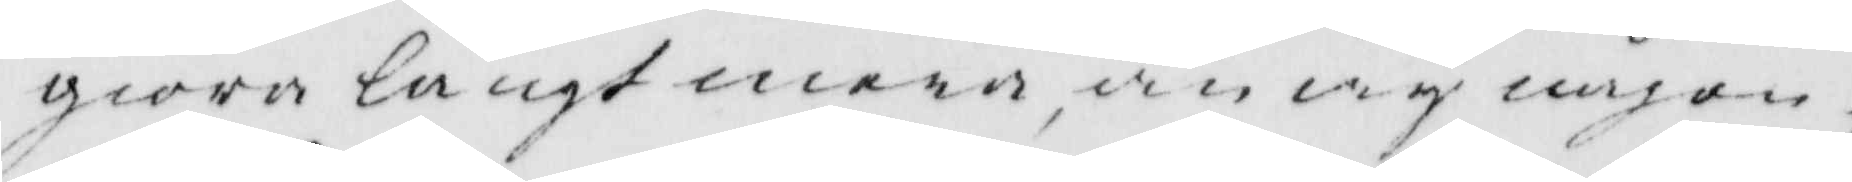giöra långt mera än wy någon¬
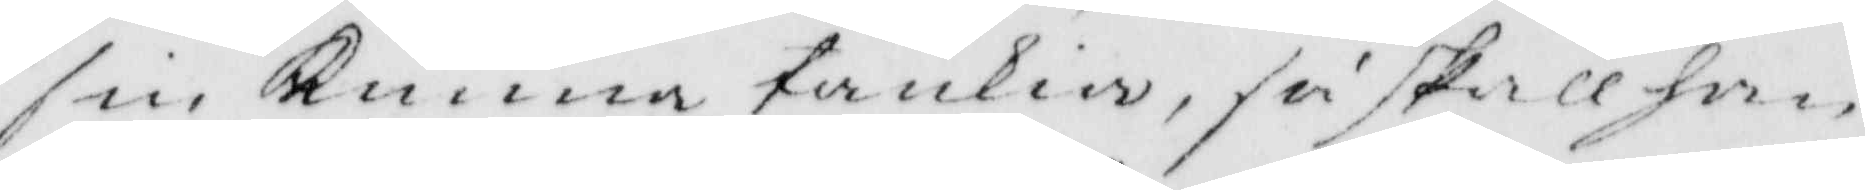sin Kunna tänkia, så skall han
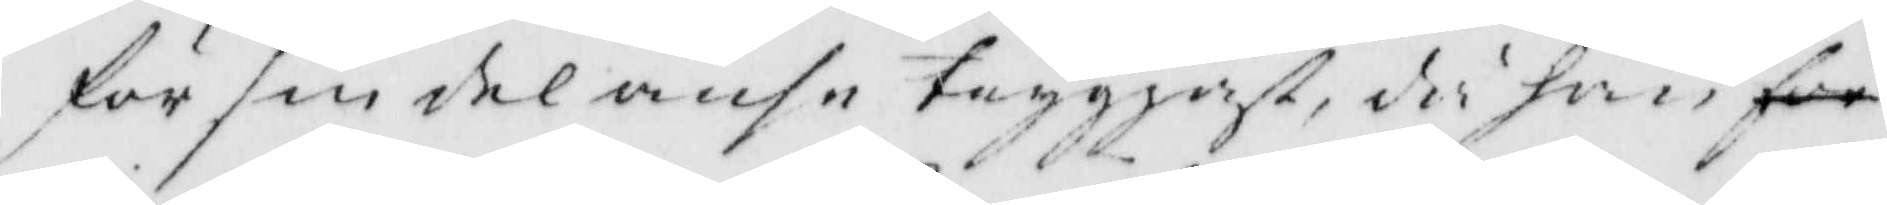för sin del anse tryggast då han för
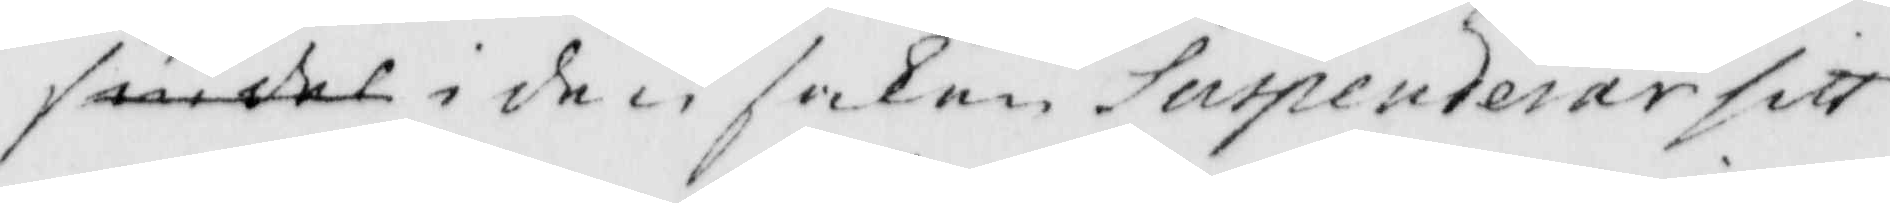sin del i den saken Suspenderar sitt
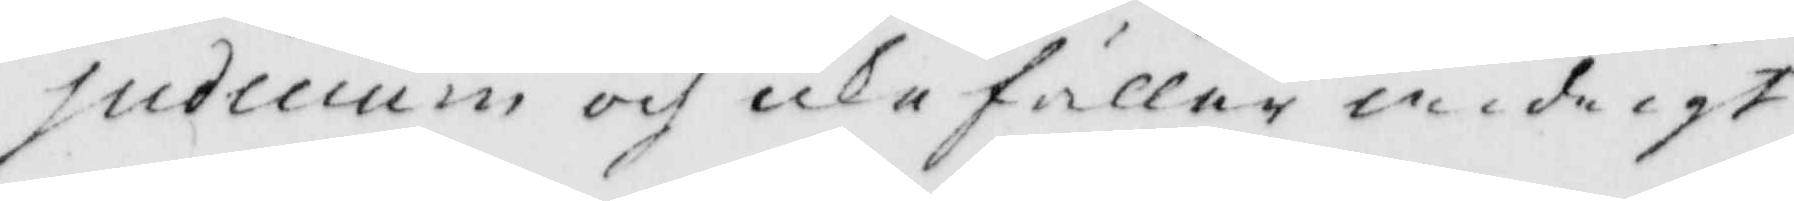Sudicium och icke fäller widrigt
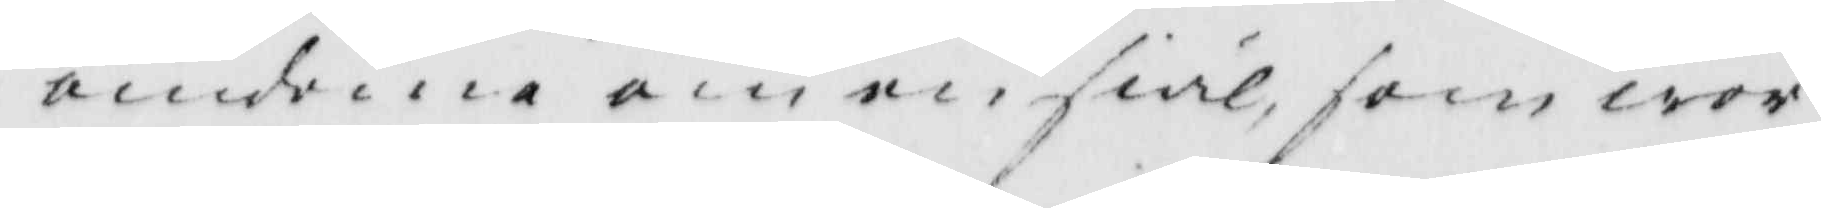omdöme om en siäl som wor¬
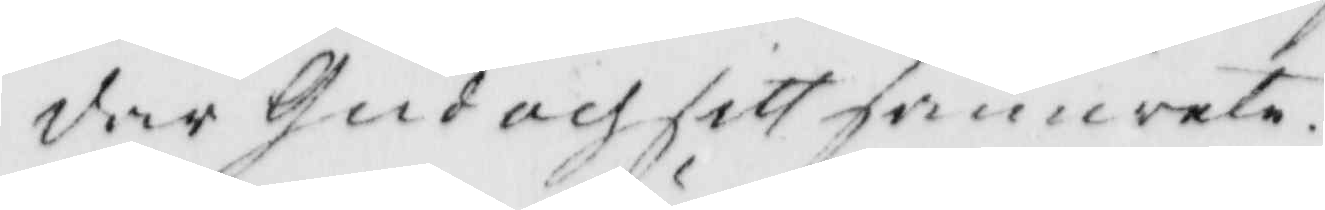der Gud och sitt samwete.
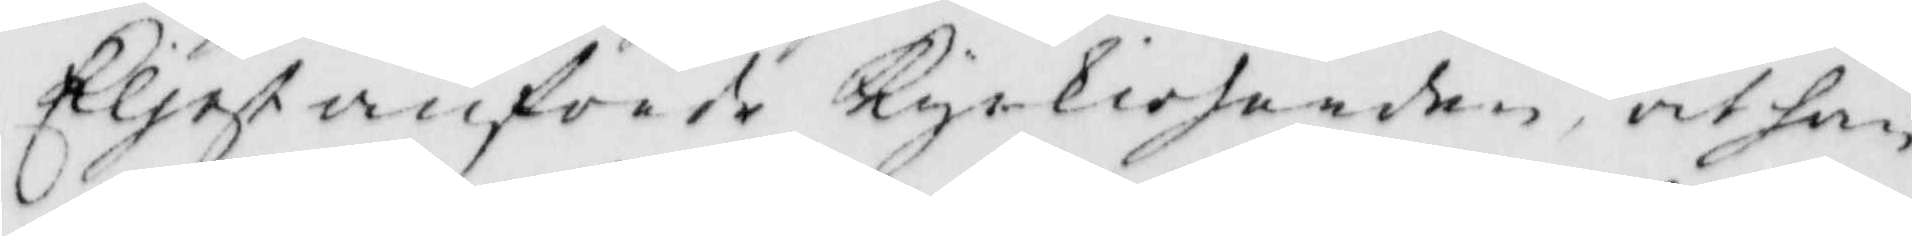Eljest anförde Kyrkioherden, at han
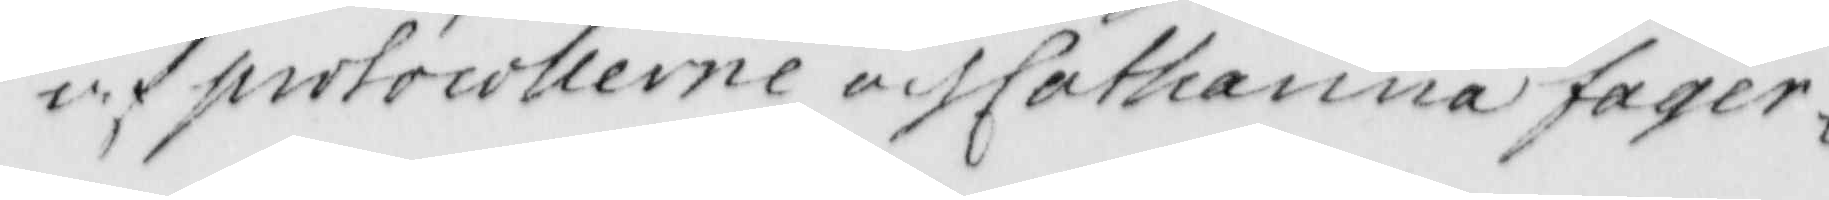och protocollerne af Catarina fager¬
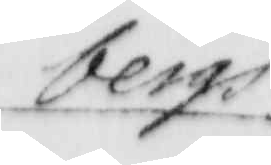bergs
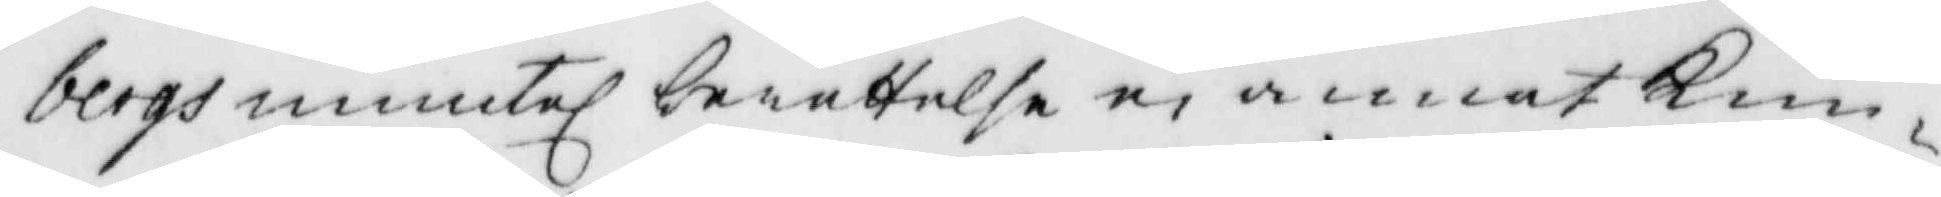bergs muntel berättelse ei annat Kun¬
